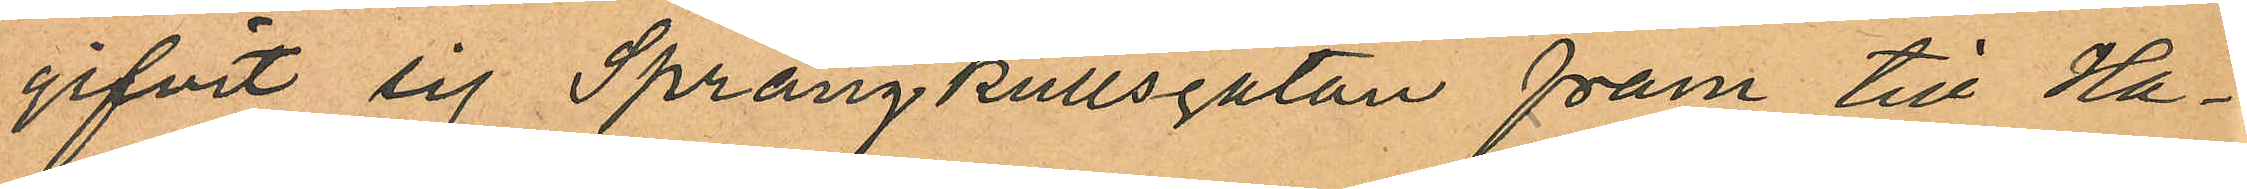gifvit sig Sprängkullsgatan fram till Ha¬
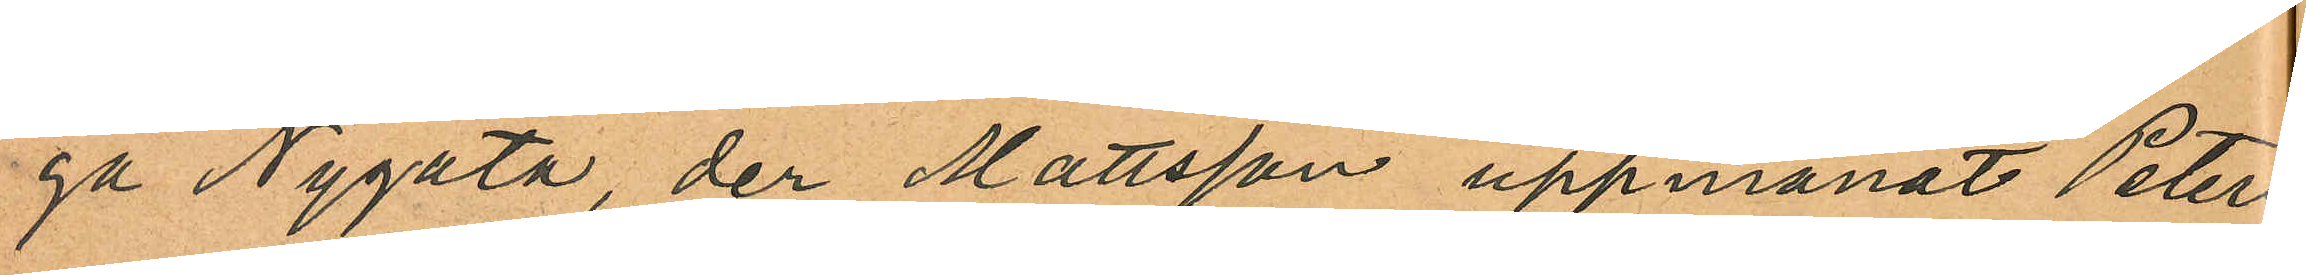ga Nygata, der Mattsson uppmanat Peters
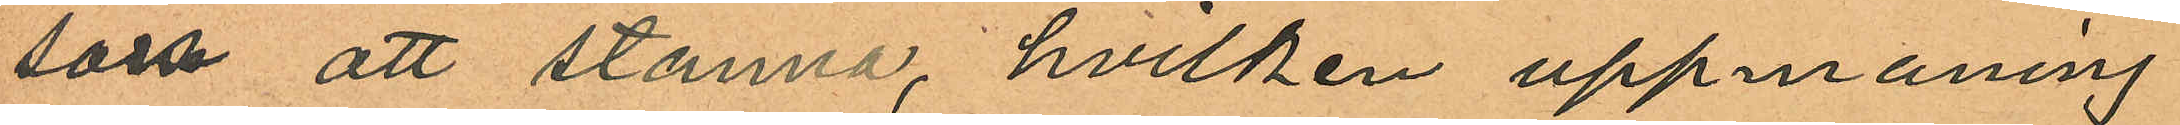son att stanna, hvilken uppmaning
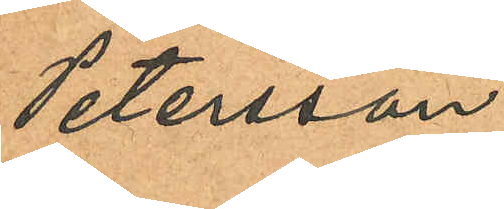Petersson
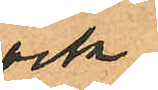och
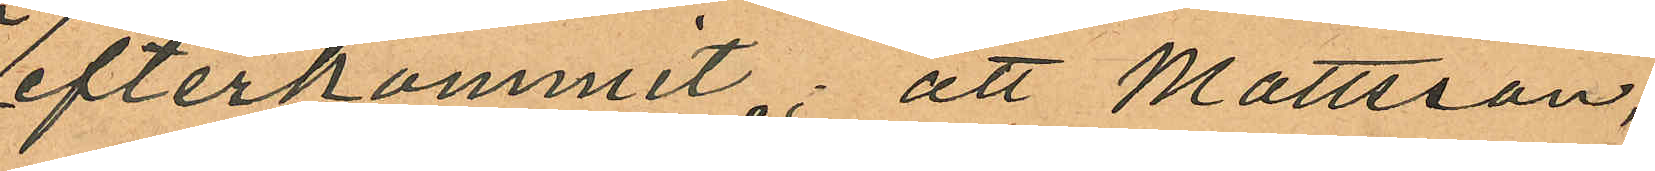efterkommit; att Mattsson,
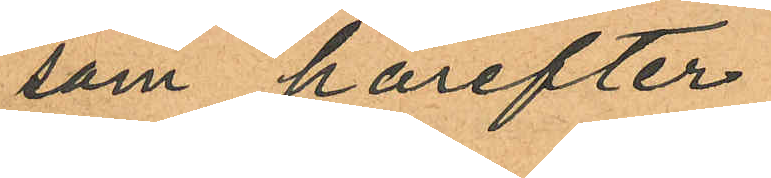som härefter
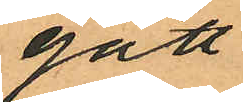gått
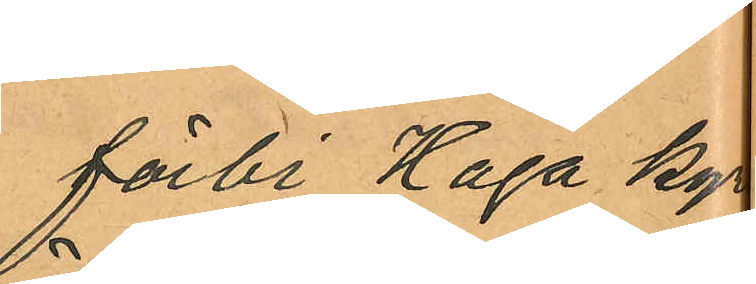förbi Haga Kyr
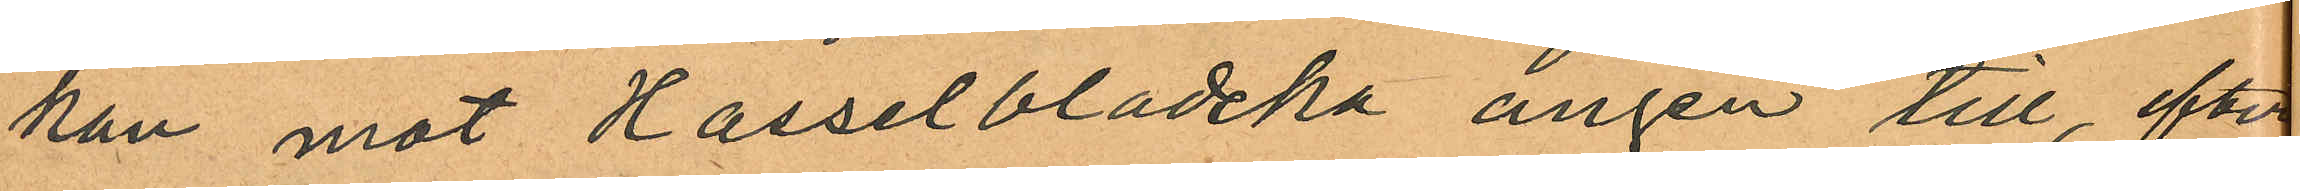kan mot Hasselbladska ängen till, efter
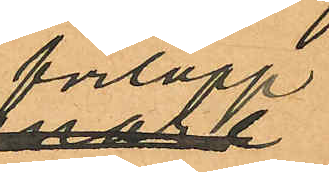förlopp
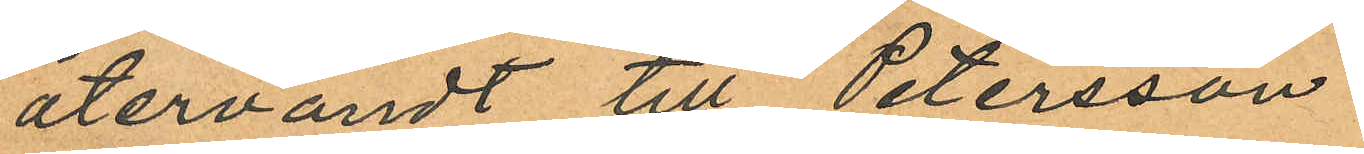återvändt till Petersson
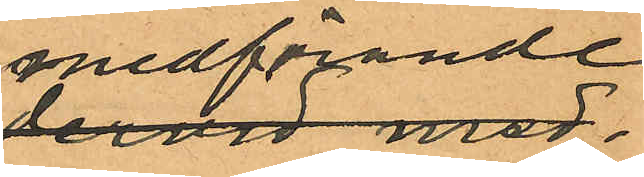medförande
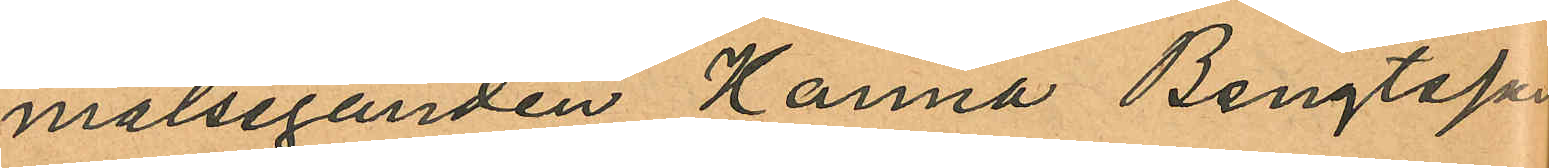målseganden Hanna Bengtsson
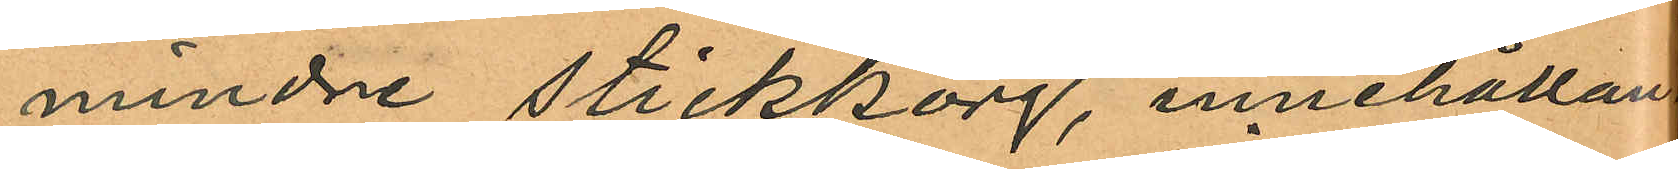mindre stickkorg, innehållan
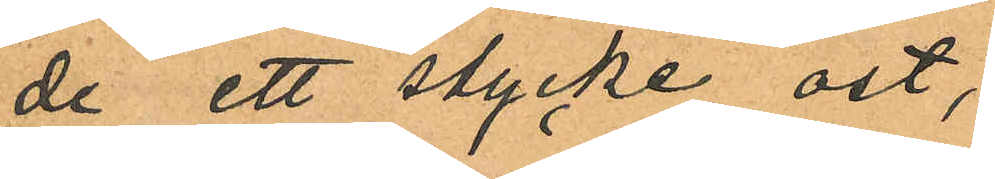de ett stycke ost,
